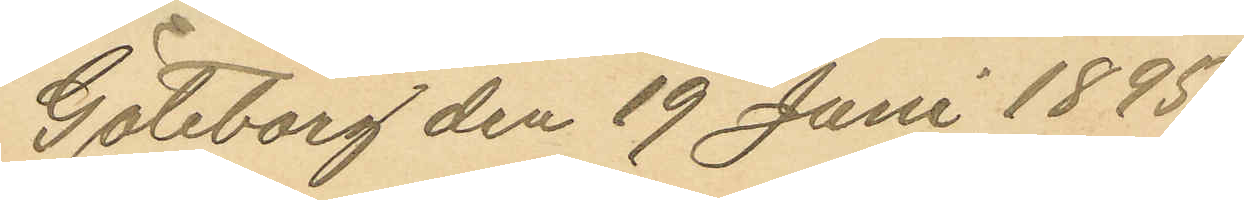Göteborg den 19 Juni 1895.
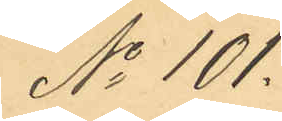No 101.
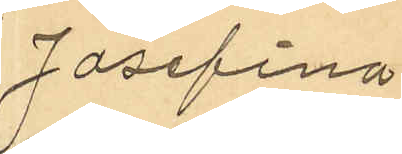Josefina
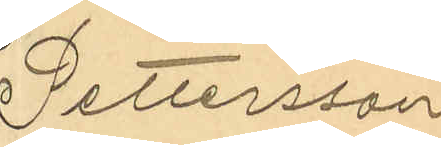Pettersson
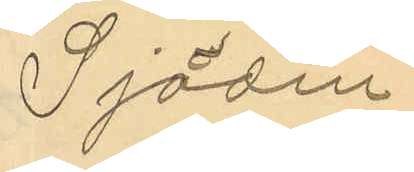Sjödin
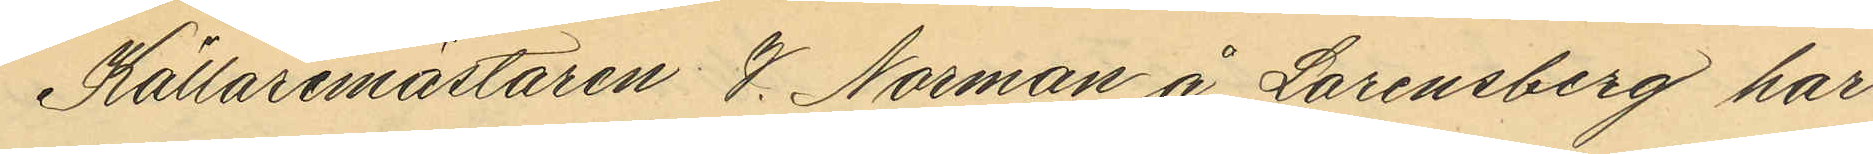Källaremästaren V. Norman å Lorensberg har
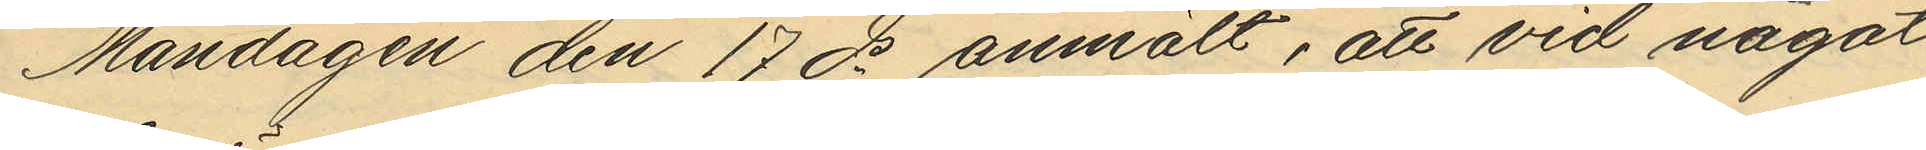Måndagen den 17 ds anmält, att vid något
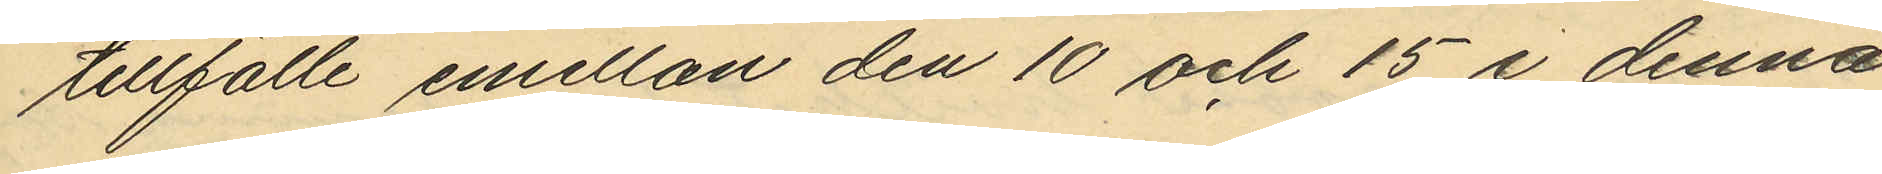tillfälle emellan den 10 och 15 i denna
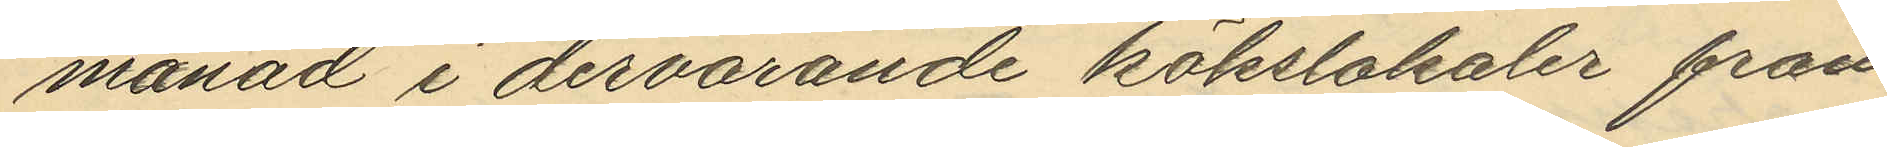månad i dervarande kökslokaler från
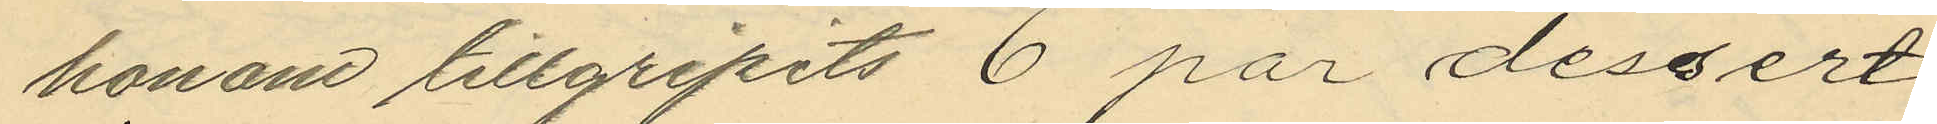honom tillgripits 6 par dessert¬
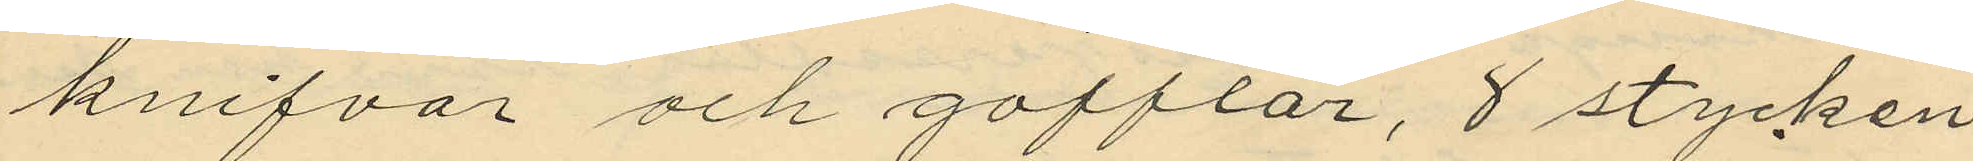knifvar och gafflar, 8 stycken
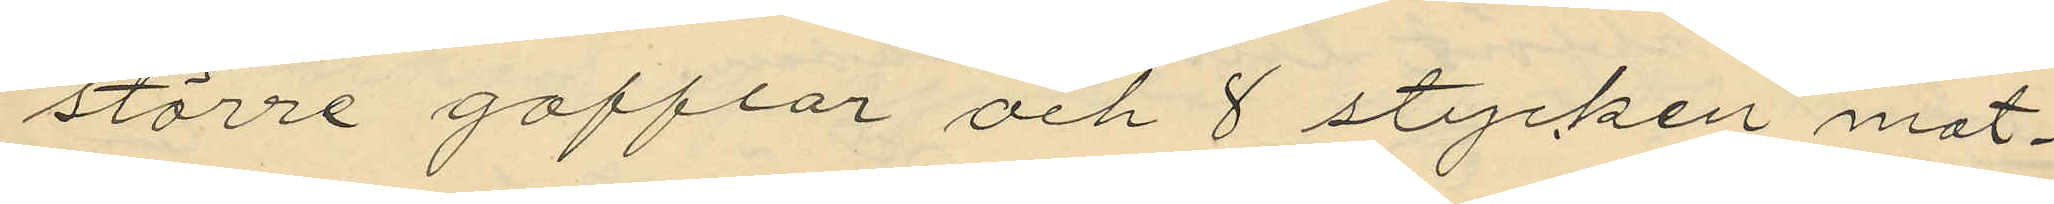större gafflar och 8 stycken mat¬
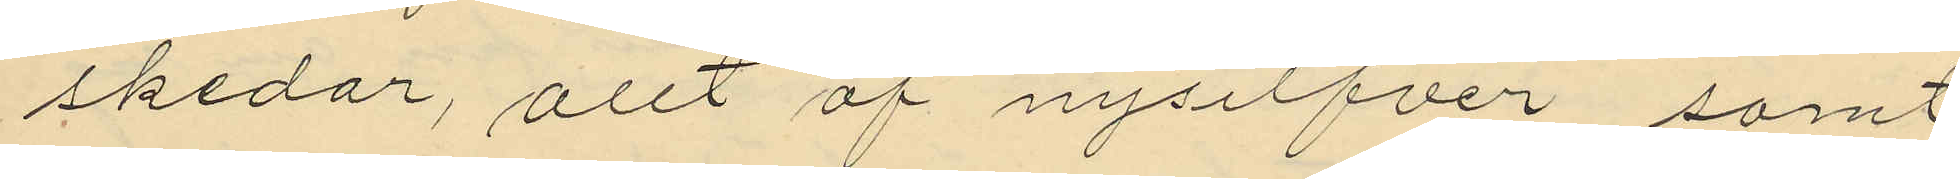skedar, attt af nysilfver samt
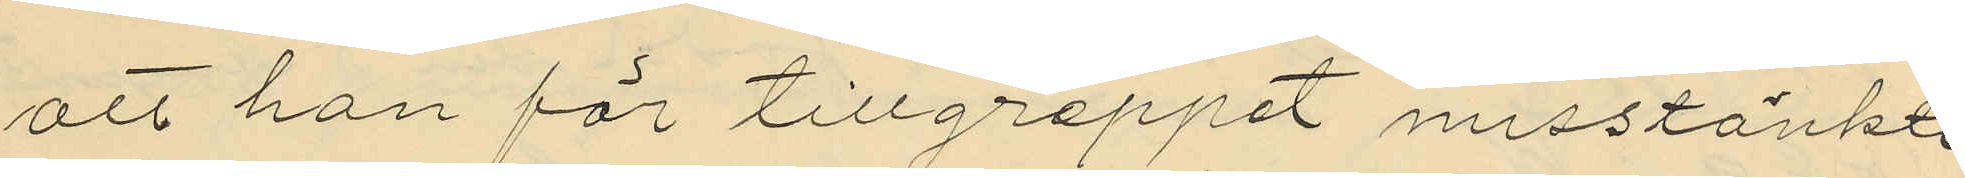att han för tillgreppet misstänkte
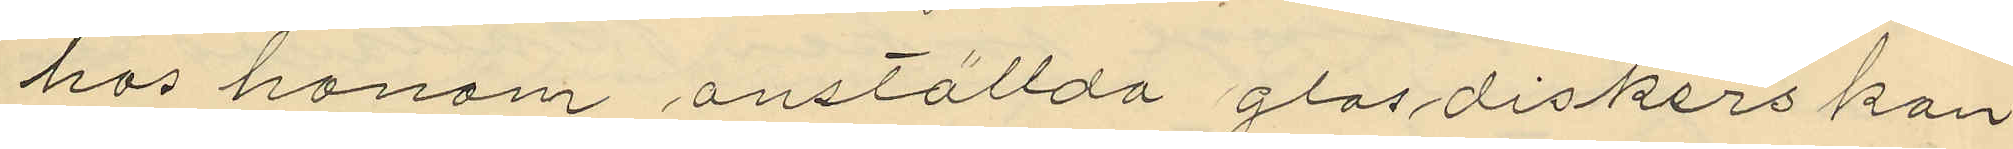hos honom anställda glasdiskerskan
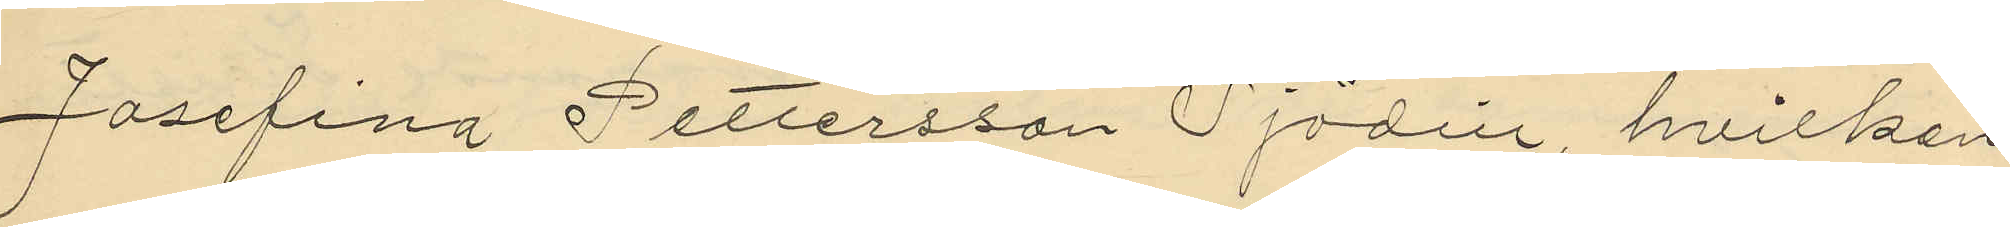Josefina Pettersson Sjödin, hvilken
